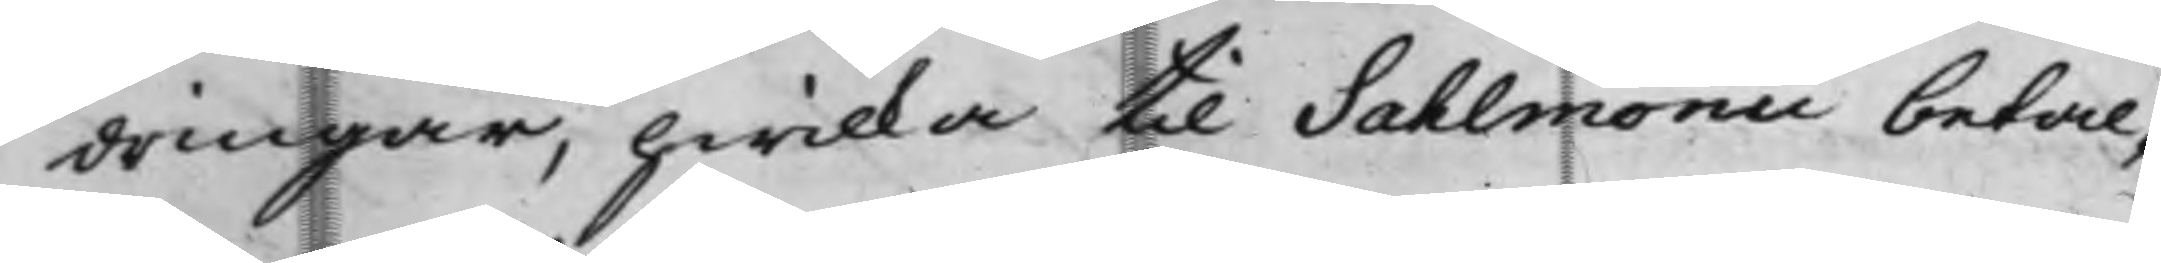dringar, hwilka til Sahlmonii betal¬
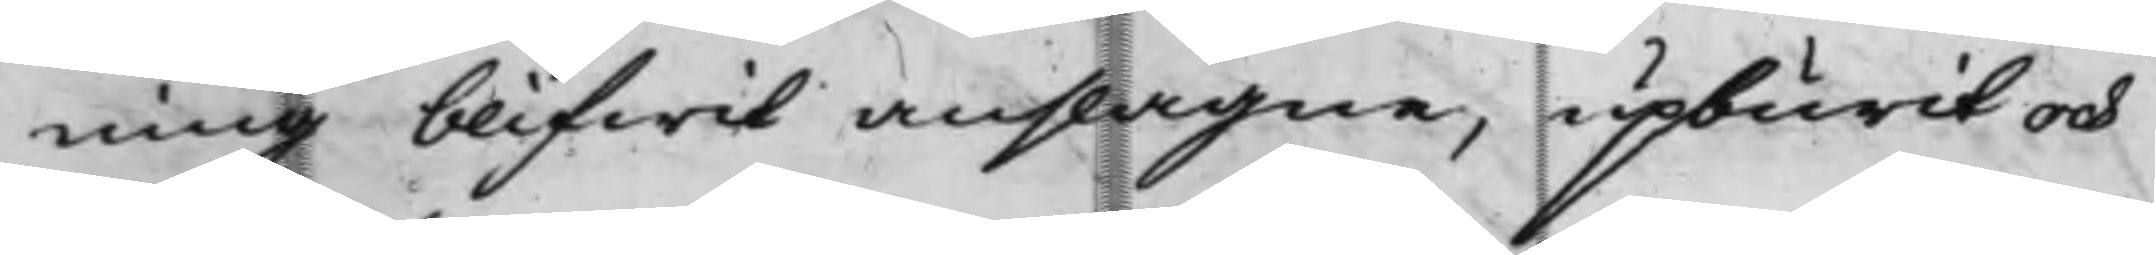ning blifwit anslagne, upburit och
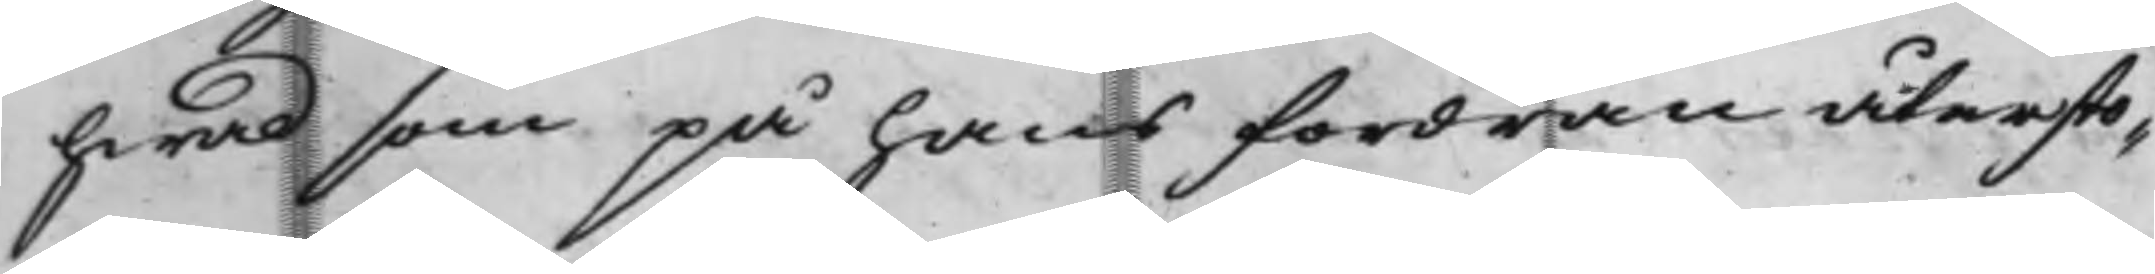hwad som på hans fordran återsto¬
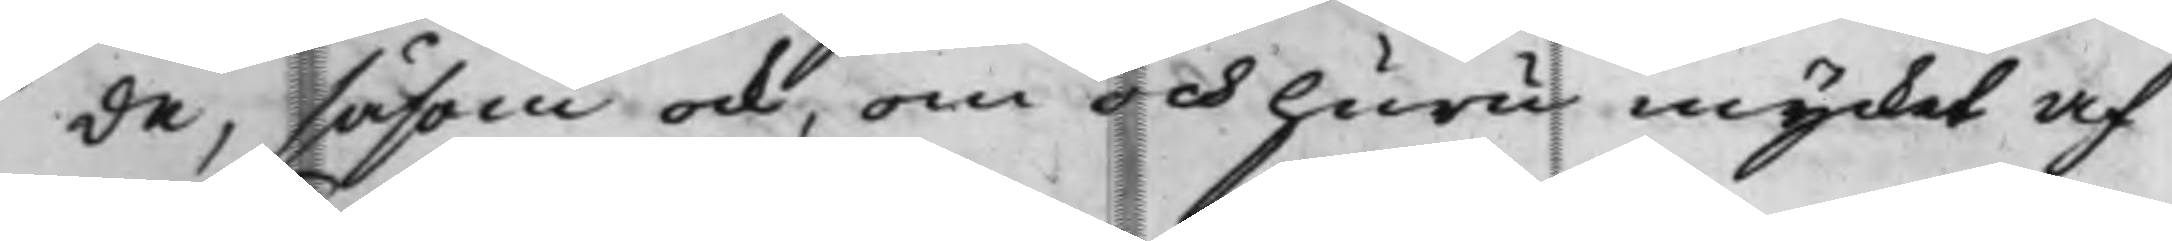de, såsom ock, om och huru mycket af
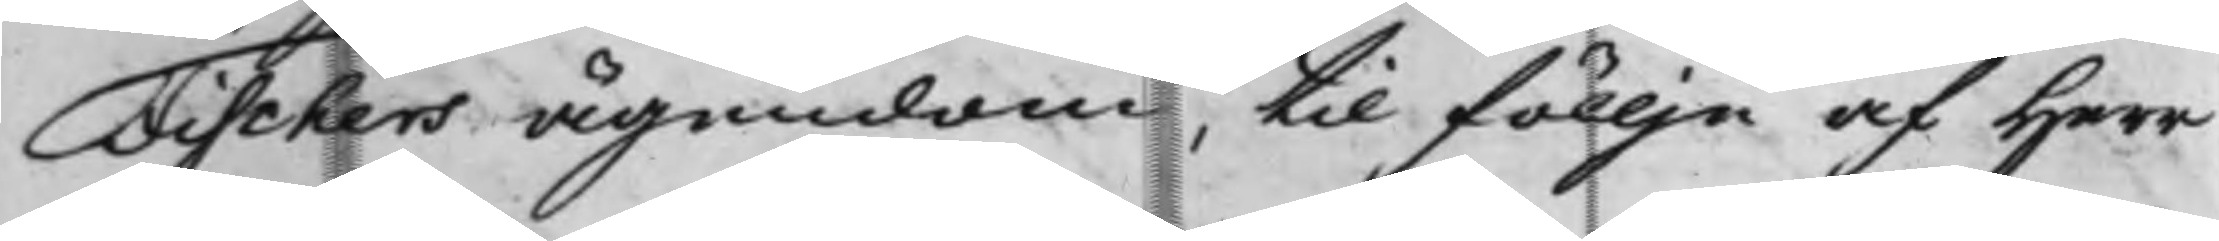Fischers ägendom, til föllje af Herr
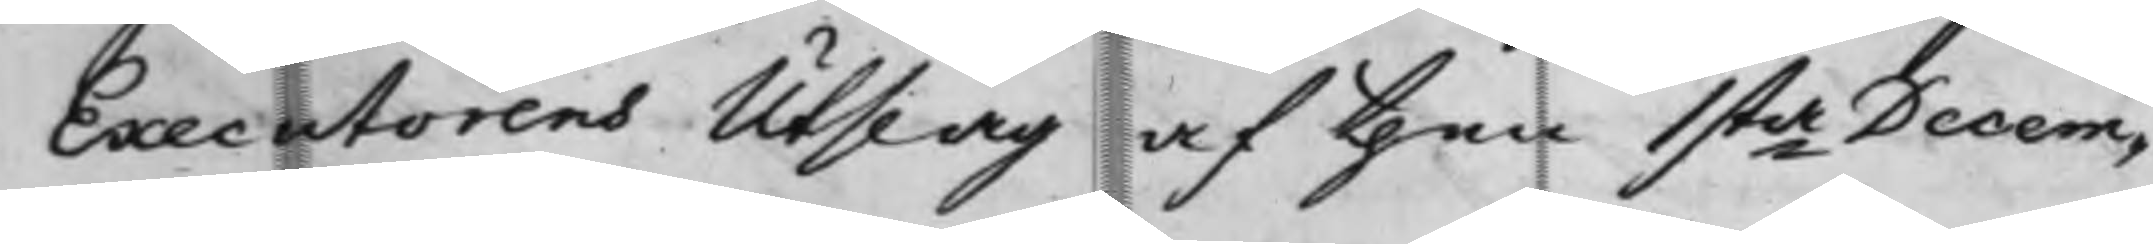Executorens Utslag af then 1sta Decem¬
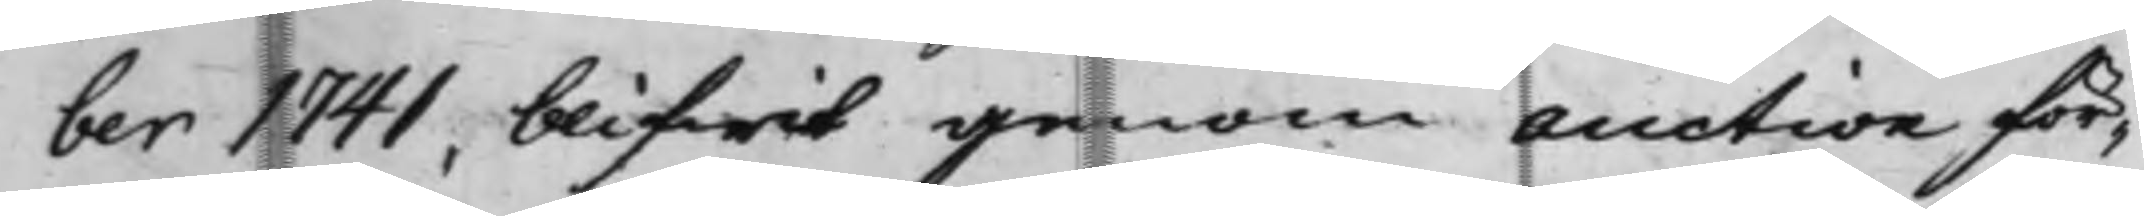ber 1741, blifwit genom Auction för¬
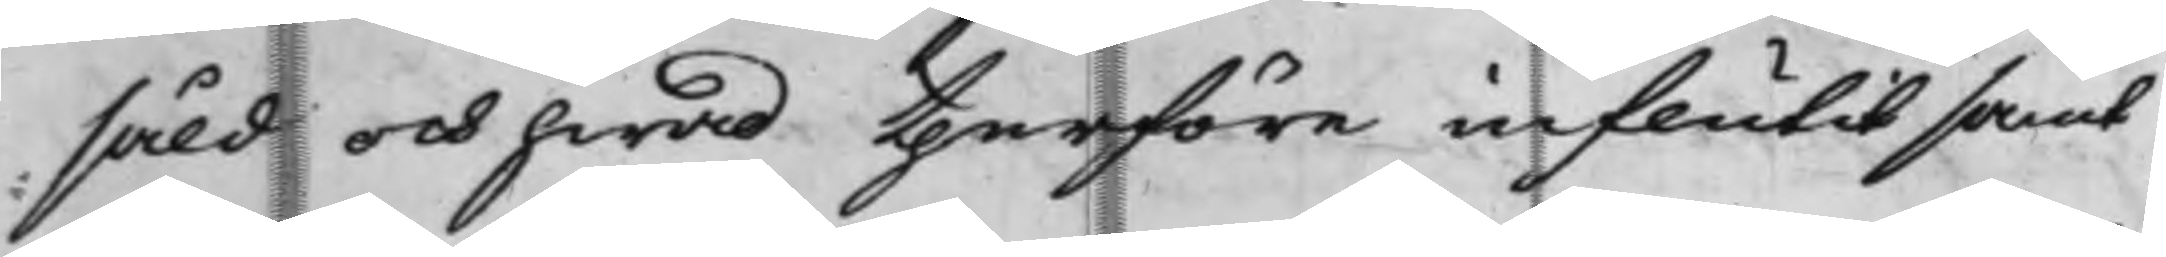såld och hwad therföre influtit samt
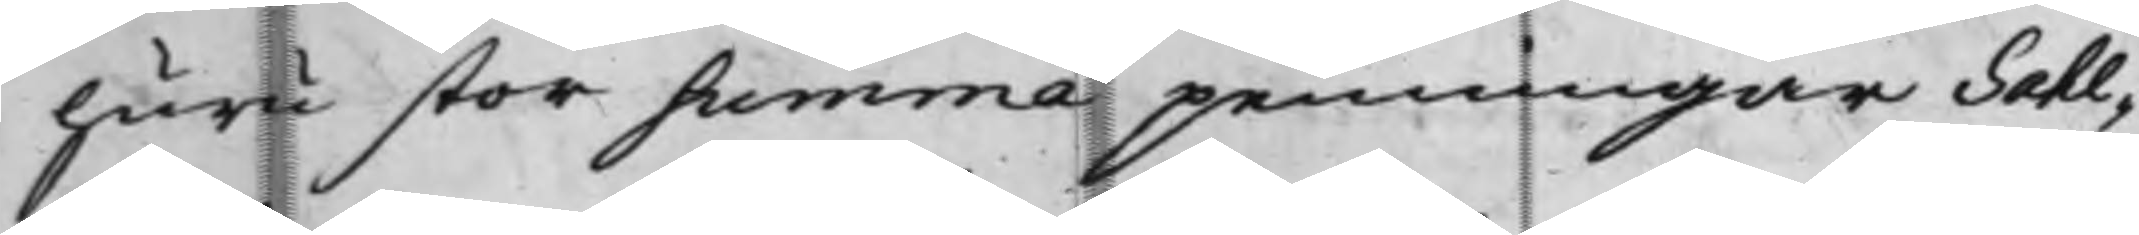huru stor summa penningar Sahl¬
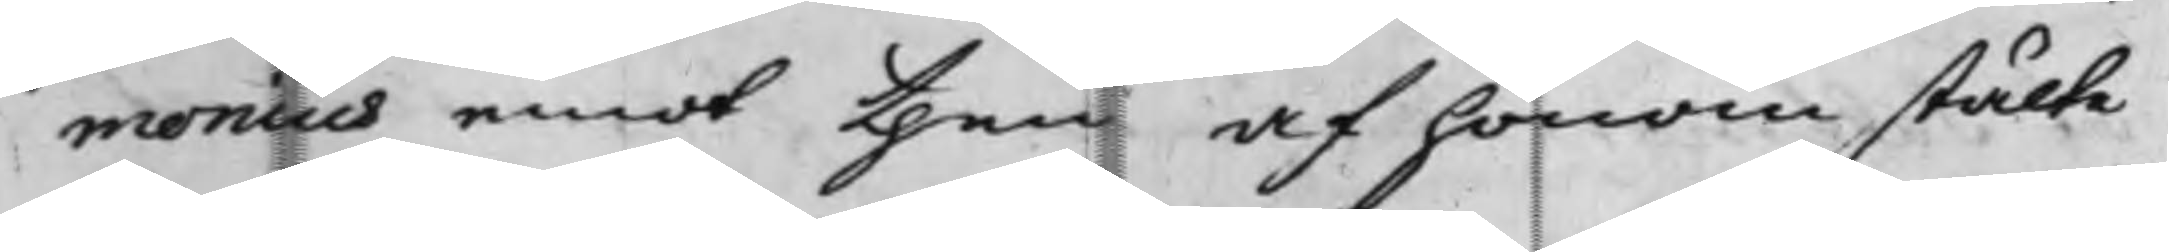monius emot then af honom stälte
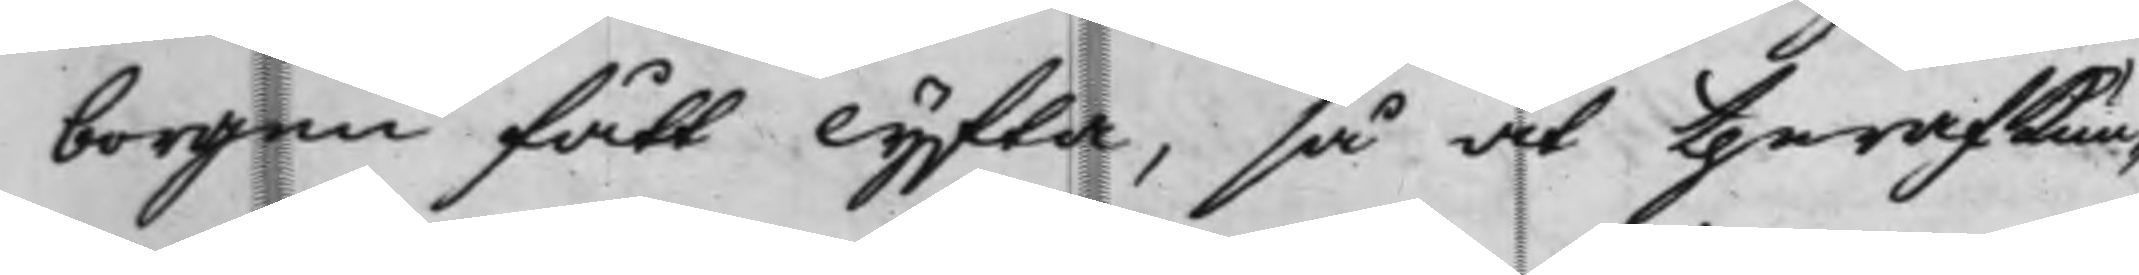borgen fått lyfta, så at theraf kun¬
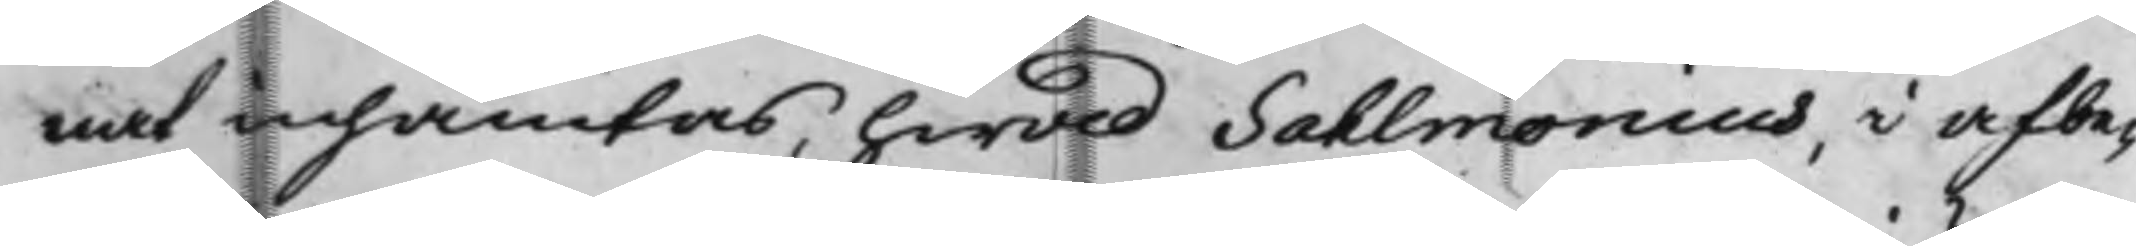nat inhämtas, hwad Sahlmonius, i afbe¬
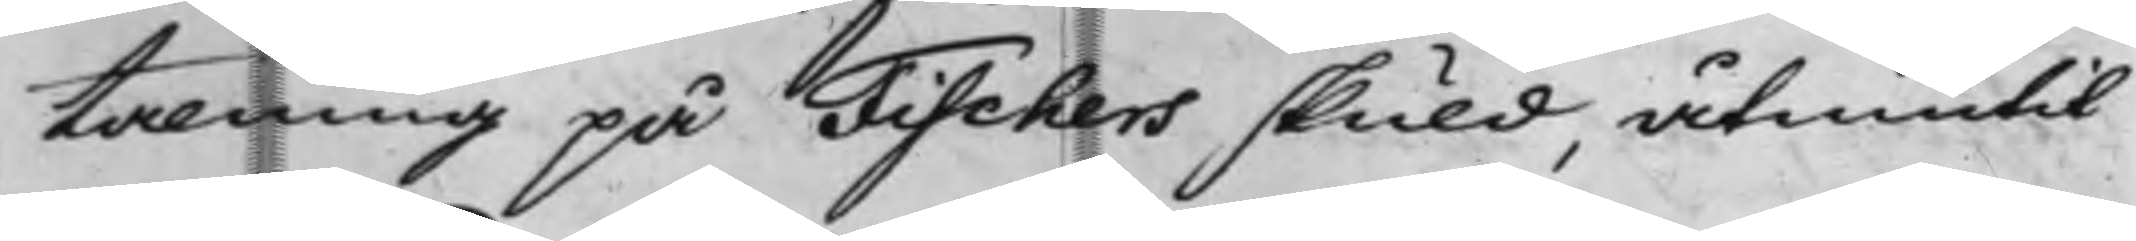talning på Fischers skuld, åtniutit
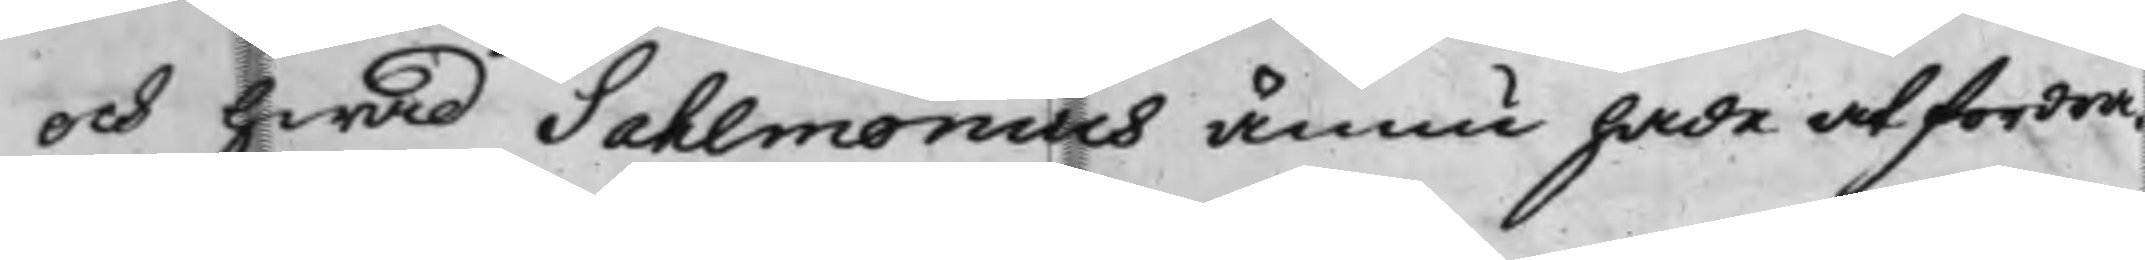och hwad Sahlmonius ännu hade at fordra.
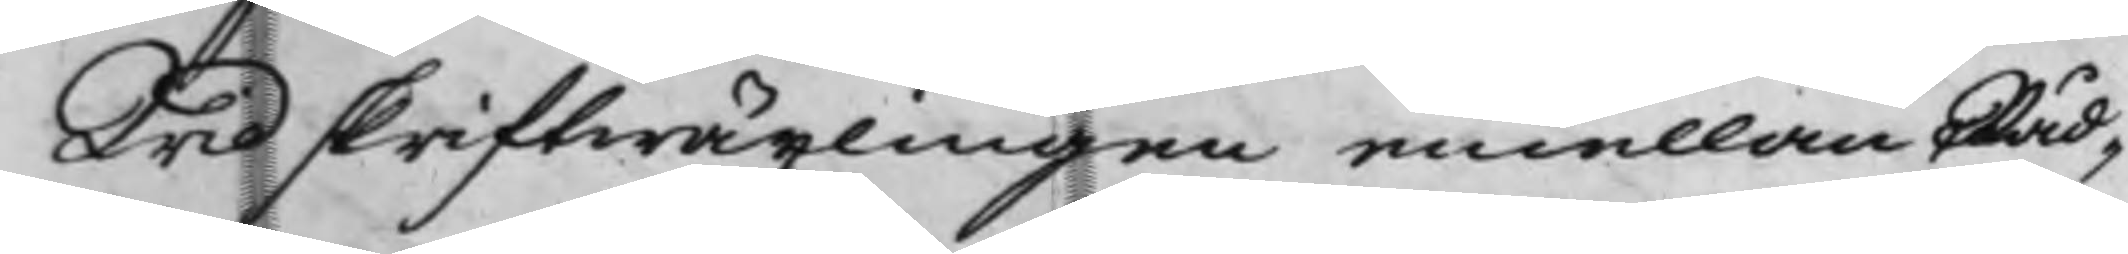Wid skriftwäxlingen emellan Råd¬
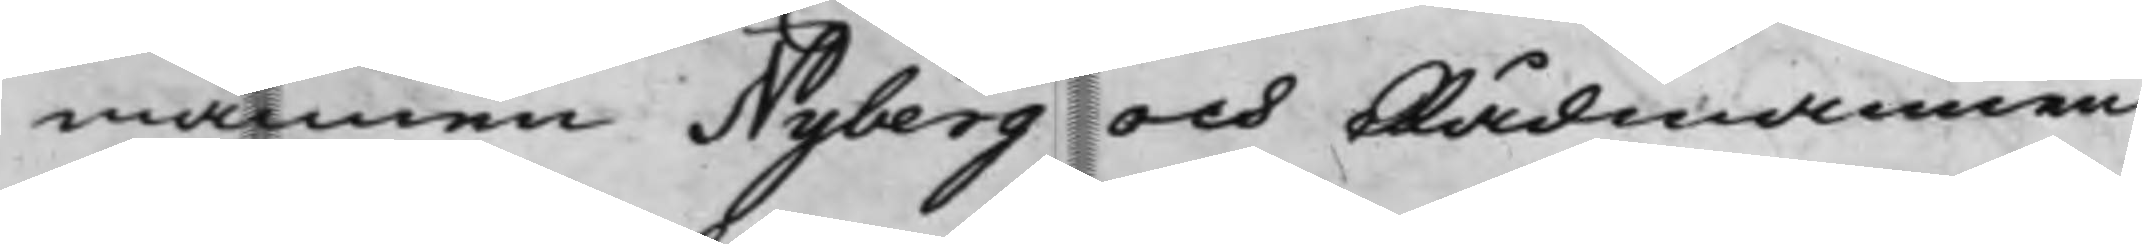mannen Nyberg och Rådmannen
